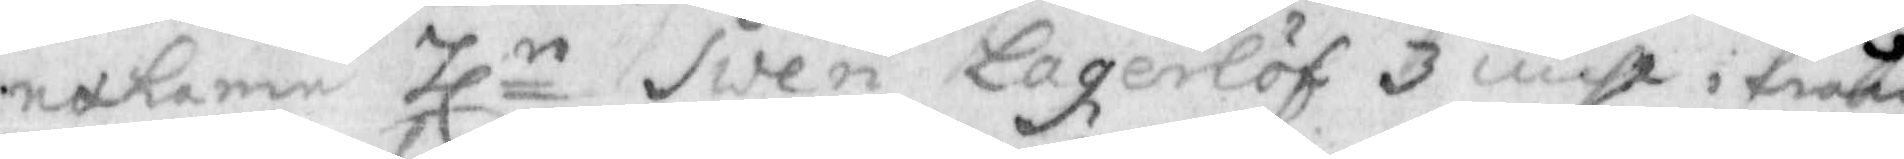nehamn Hln Swen Lagerlöf 3 mihl ifrån
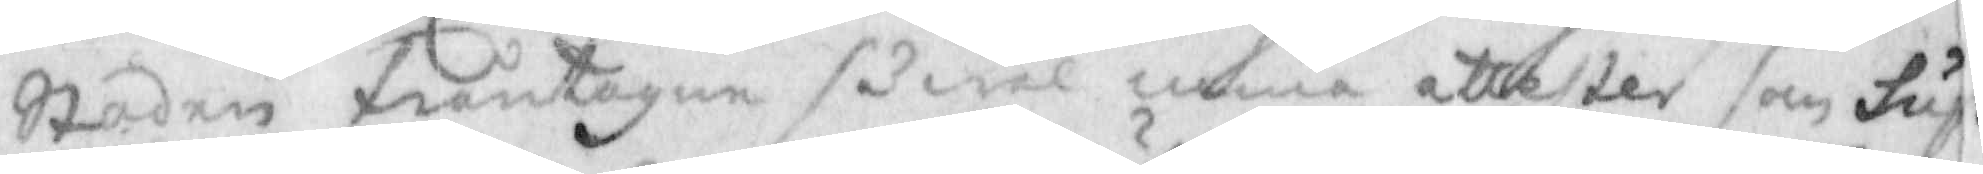Staden fråntagen såwäl mina attester som Sup¬
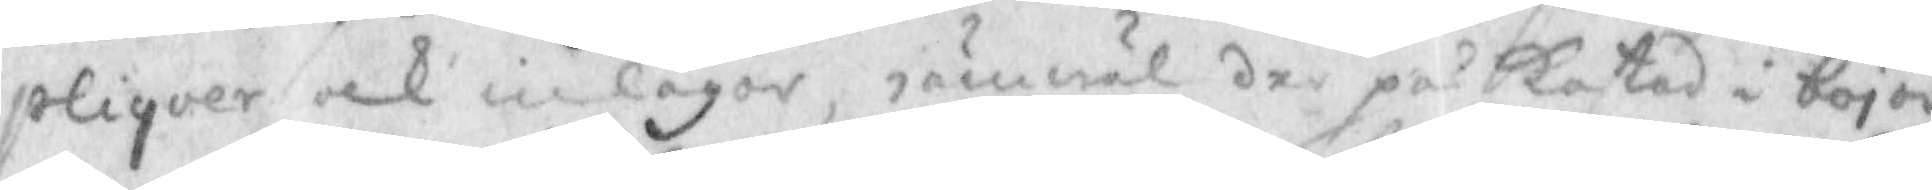pliquer och inlagor, iämwäl der på Kastad i bojor
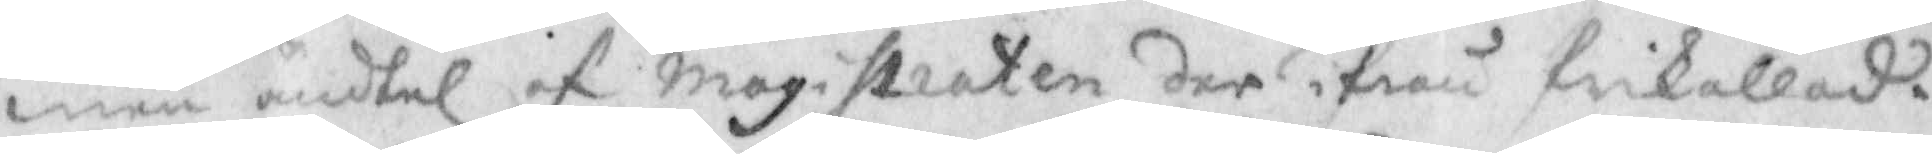men ändtel af Magistraten der ifrån frikallad.
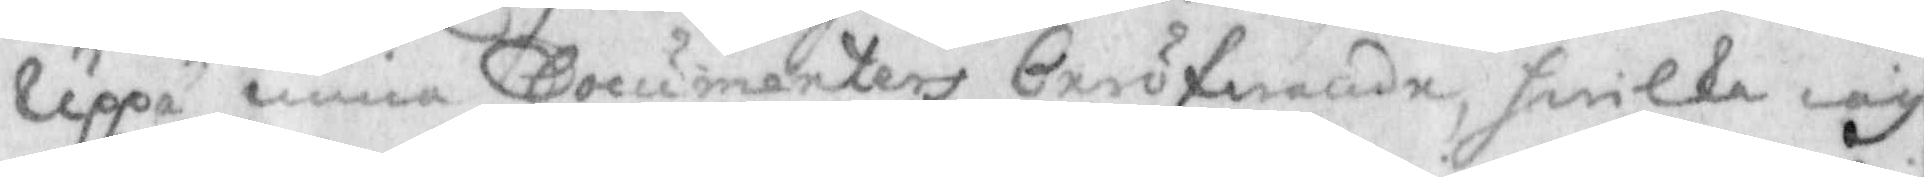Uppå mina Documenters pröfwande, hwilka iag
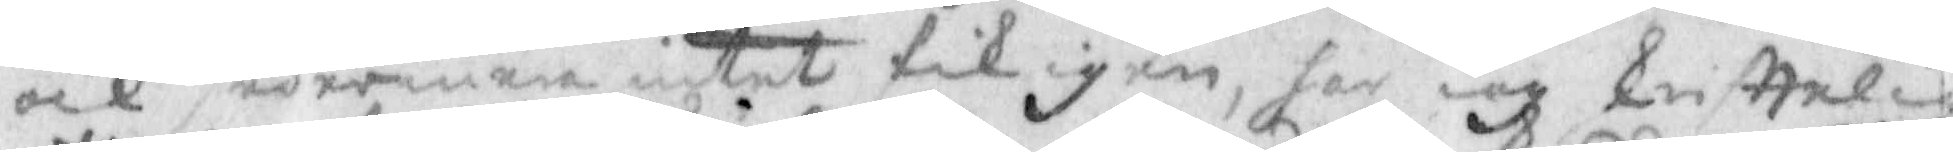ock sedermera intet fik igen, har iag kristtelig
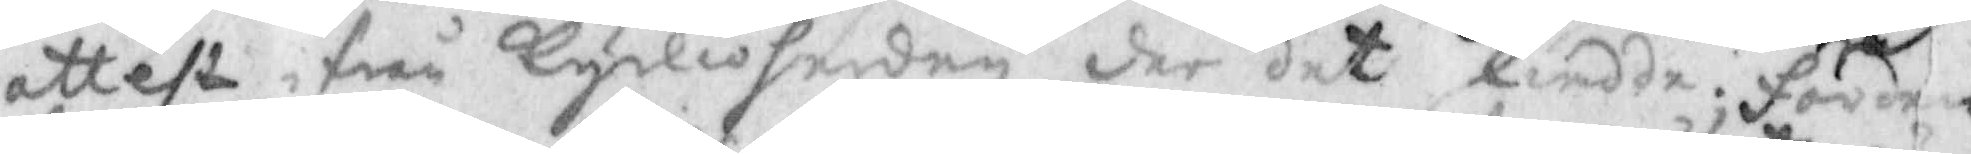attest ifrån kyrkioherden der det skiedde; förden¬
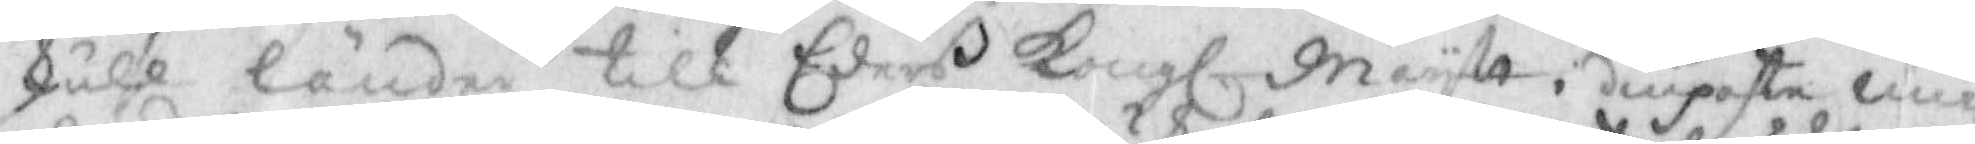skull länder till Eders Kongl. Maystt i diupaste un¬
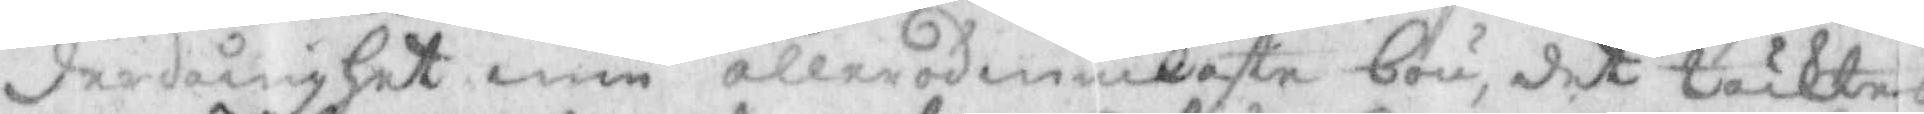derdånigher min allerödmiukaste bön, det täcktes
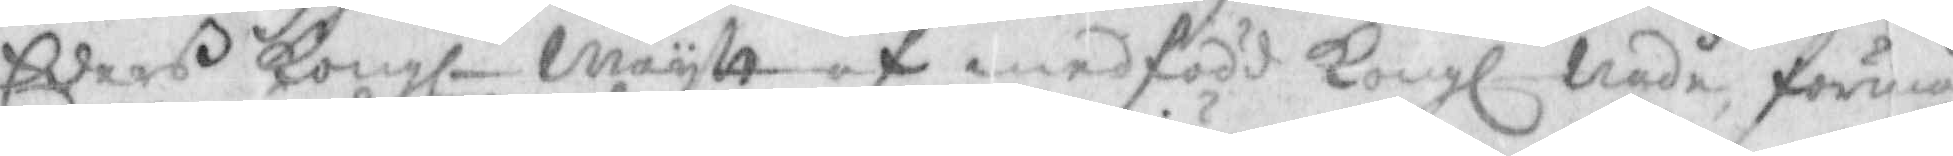Eders Kongl. Maystt af medfödd Kongl Nåde, förmå
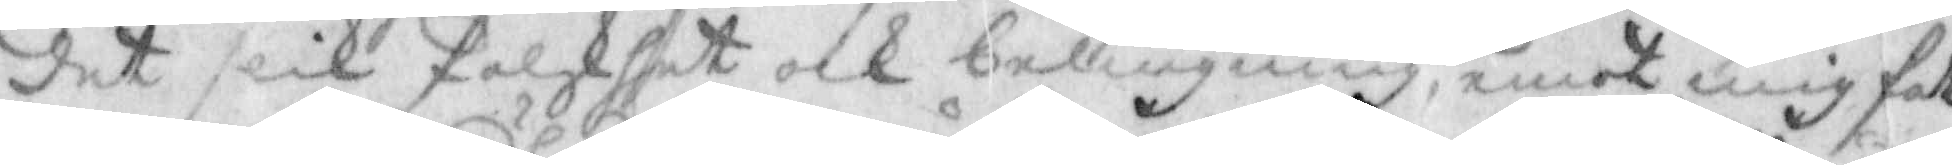det slik falskhet och beliugning, emot mig fatt¬
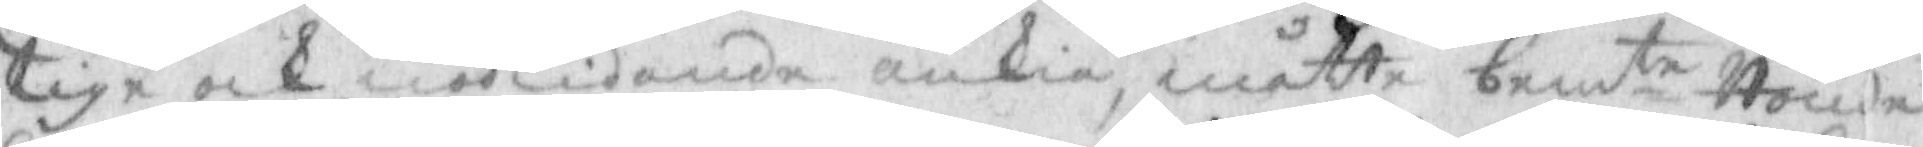tige och nödlidande änkia, måtte bemte Bonde
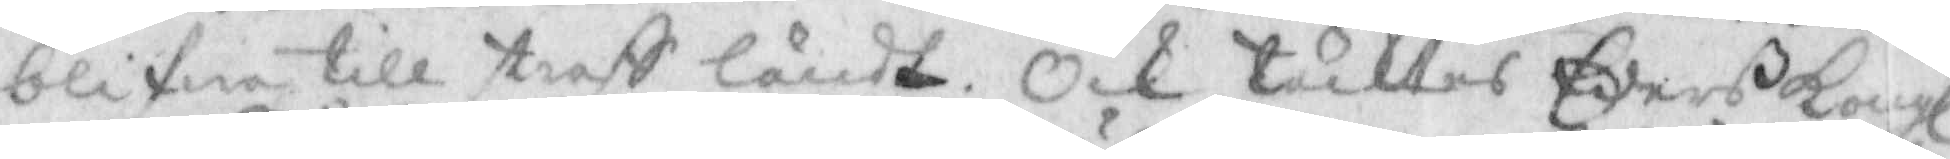blifwa till straff ländt. Och täktes Eders Kongl
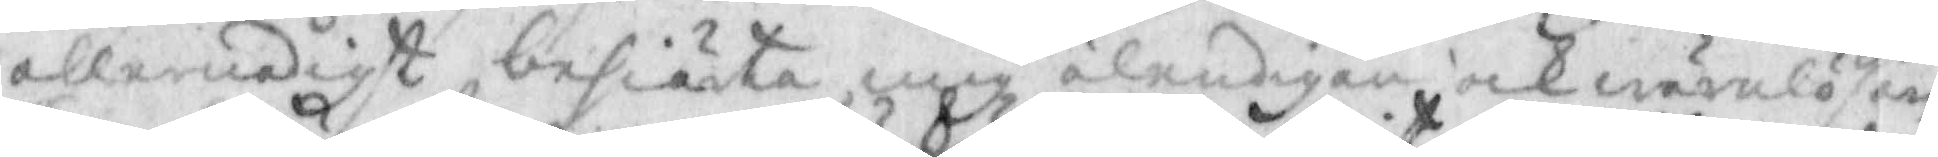allernådigst besiänta mig älendigen och wärnlösen
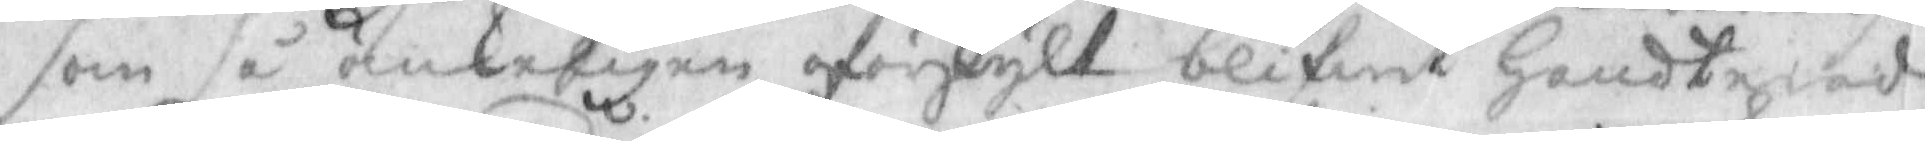som så änkeligen oförskylt blifwit Handterad,
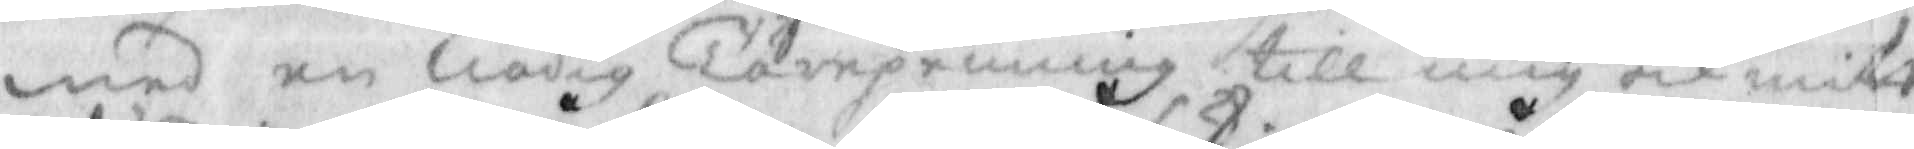med en nådig Tårepenning till mig och mitt
